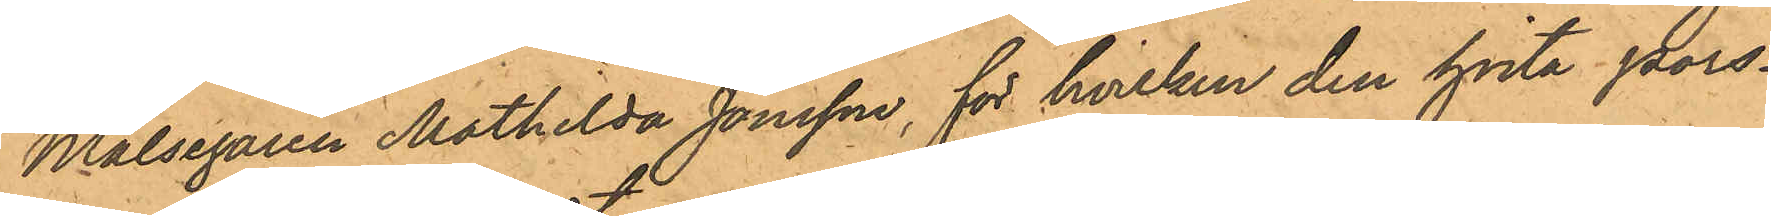Målsegaren Mathilda Jonsson, för hvilken den hvita pors¬
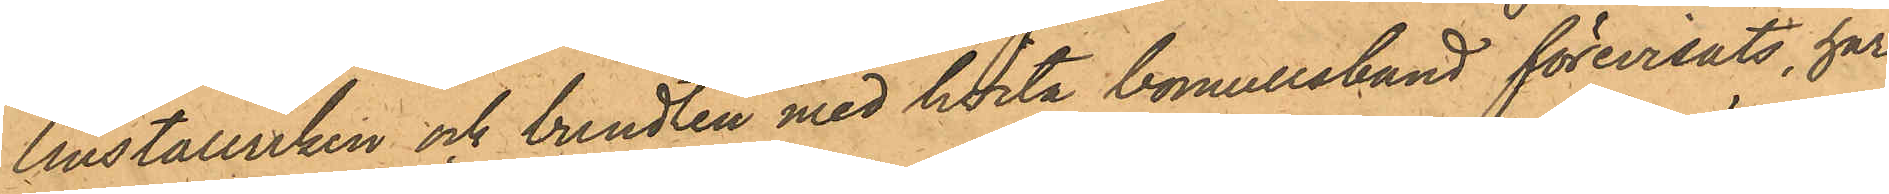linstallriken och bundten med hvita bomullsbund förevisats, har
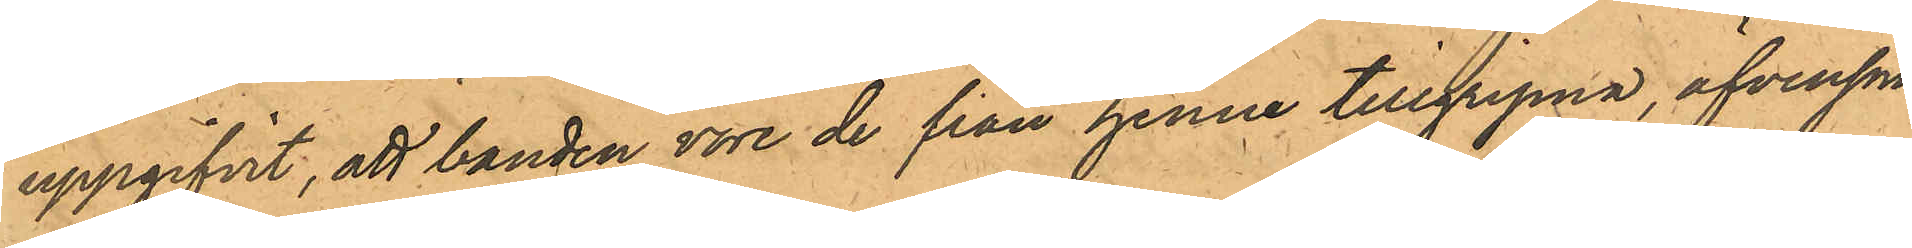uppgifvit, att banden vore de från henne tillgripna, äfvensom
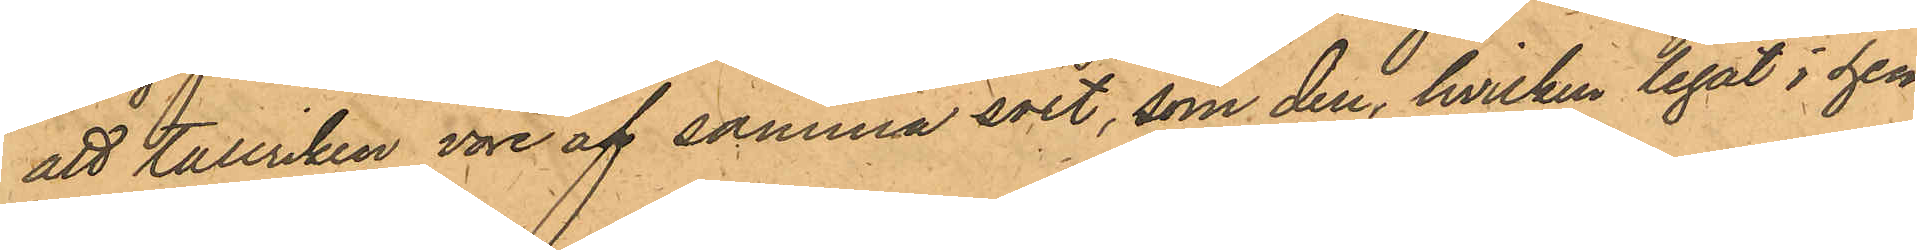att Tallriken vore af samma sort, som den, hvilken legat i hen¬
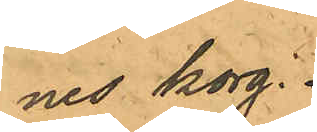nes korg.
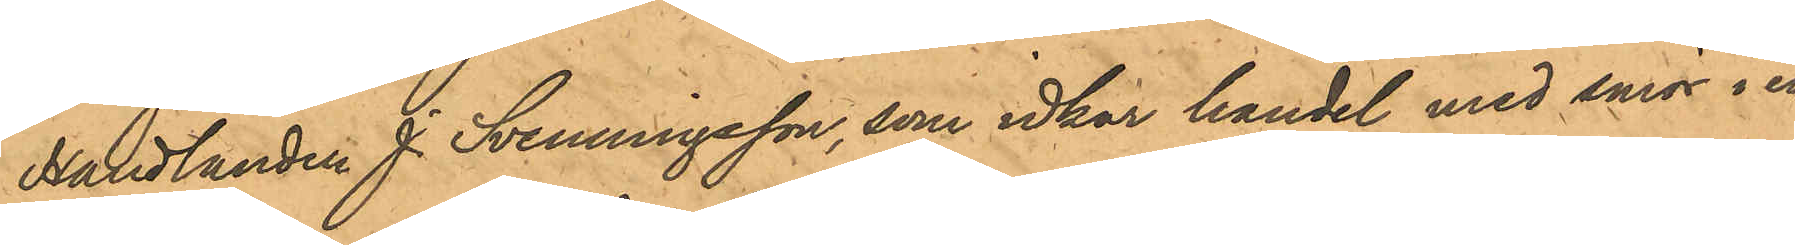Handlanden J. Svenningsson, som idkar handel med smör i en
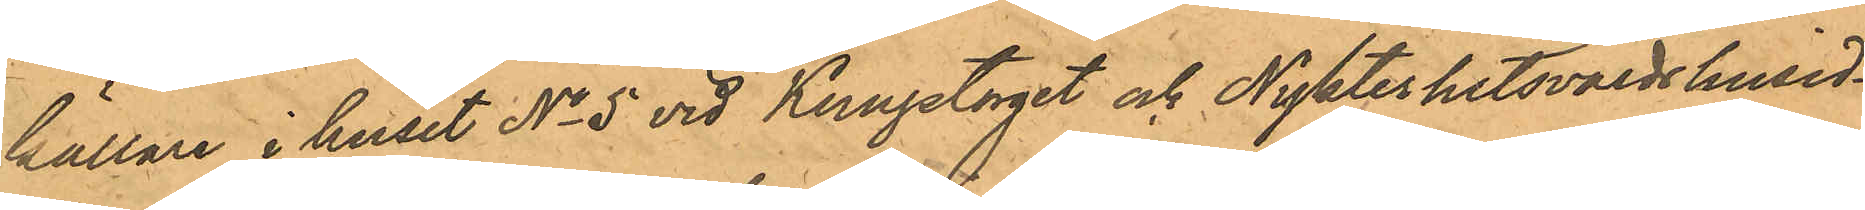källare i huset No 5 vid Kungstorget och Nykterhetsvärdshusid¬
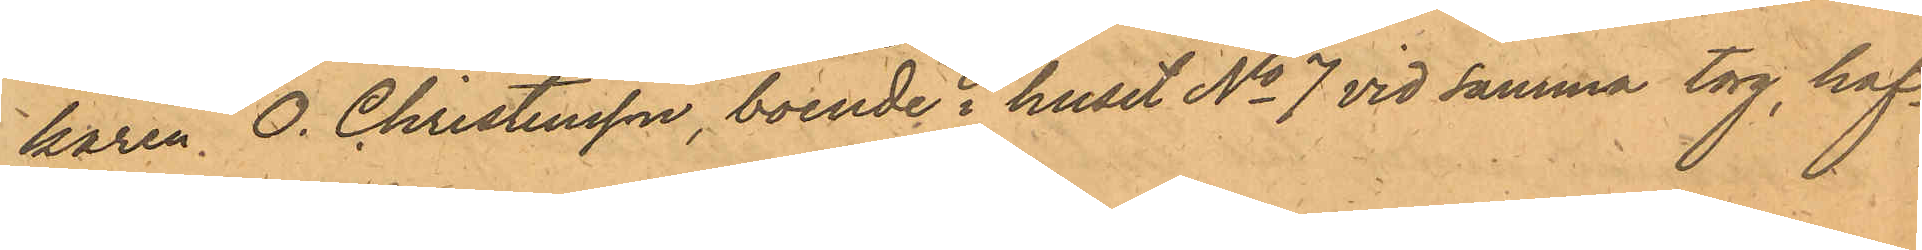karen O. Christensson, boende i huset No 7 vid samma torg, haf¬
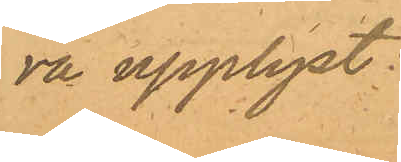va upplyst:
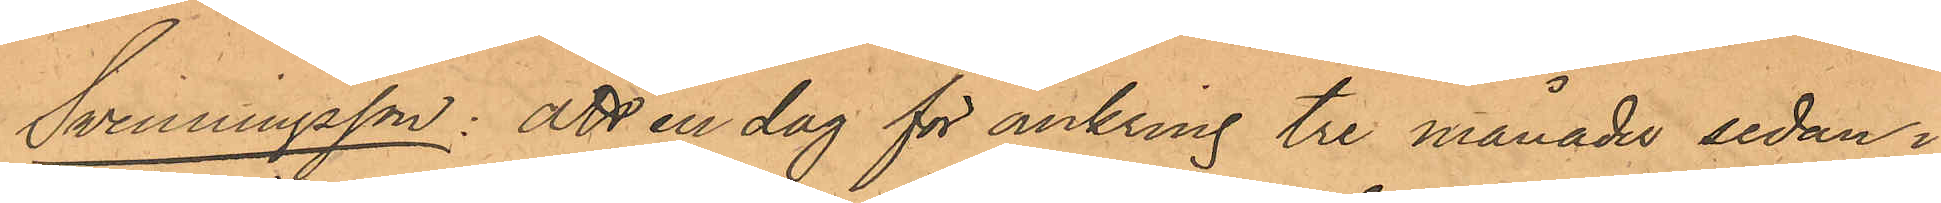Svenningsson: att en dag för omkring tre månader sedan i
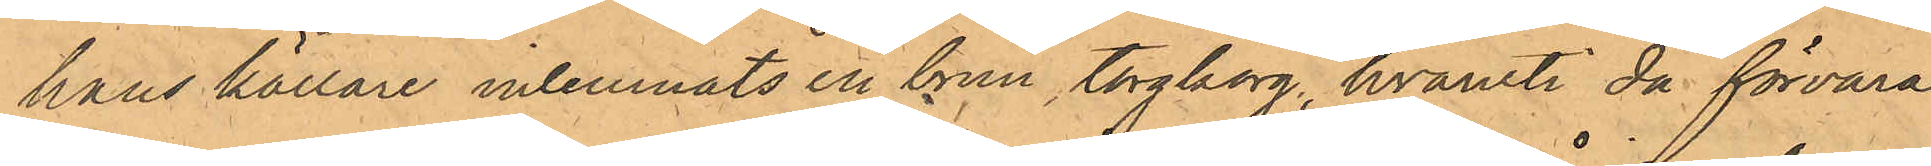hans källare inlemnats en brun torgkorg, hvaruti då förvara¬
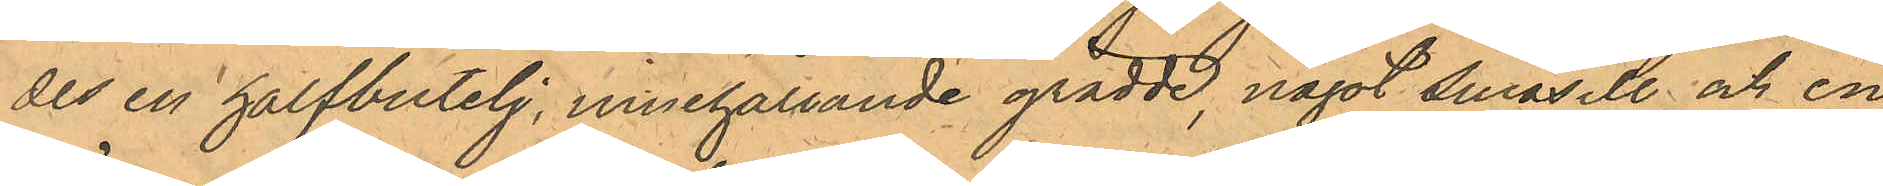des en halfbutelj, innehållande grädde, något småsill och en
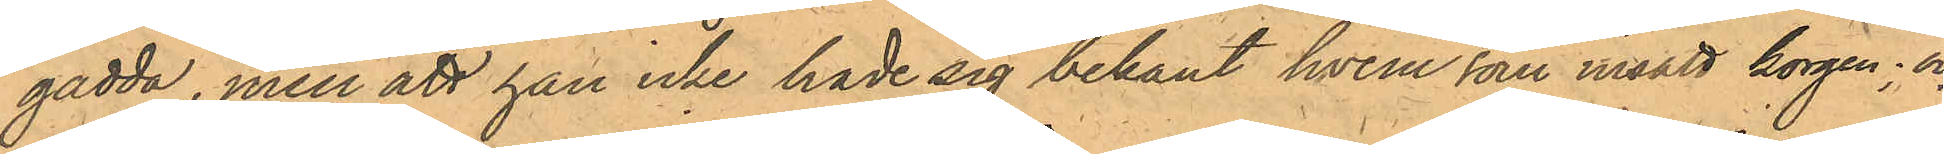gädda, men att han icke hade sig bekant hvem som insatt korgen; och
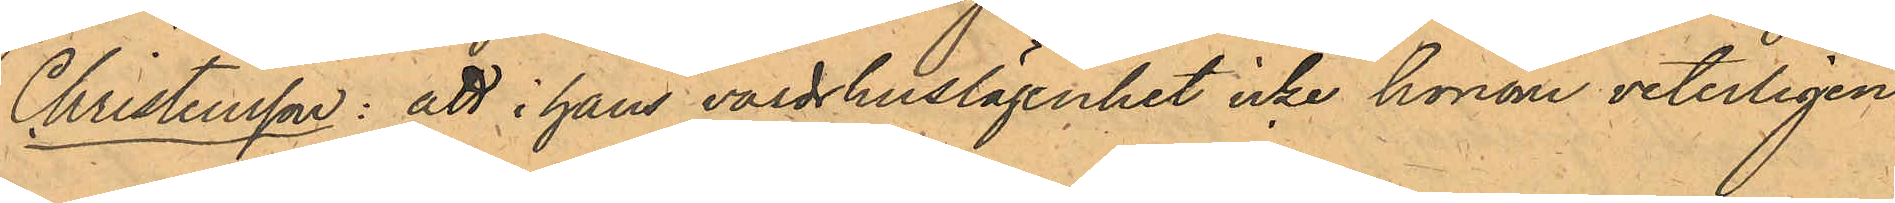Christensson: att i hans värdshuslägenhet icke honom veterligen
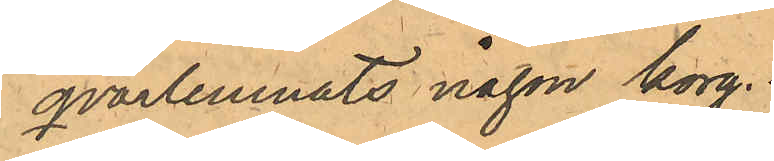qvarlemnats någon korg.
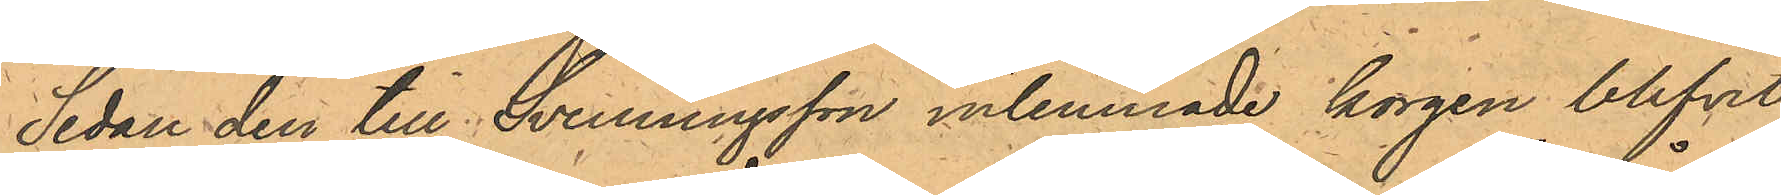Sedan den till Svenningsson inlemnade korgen blifvit
